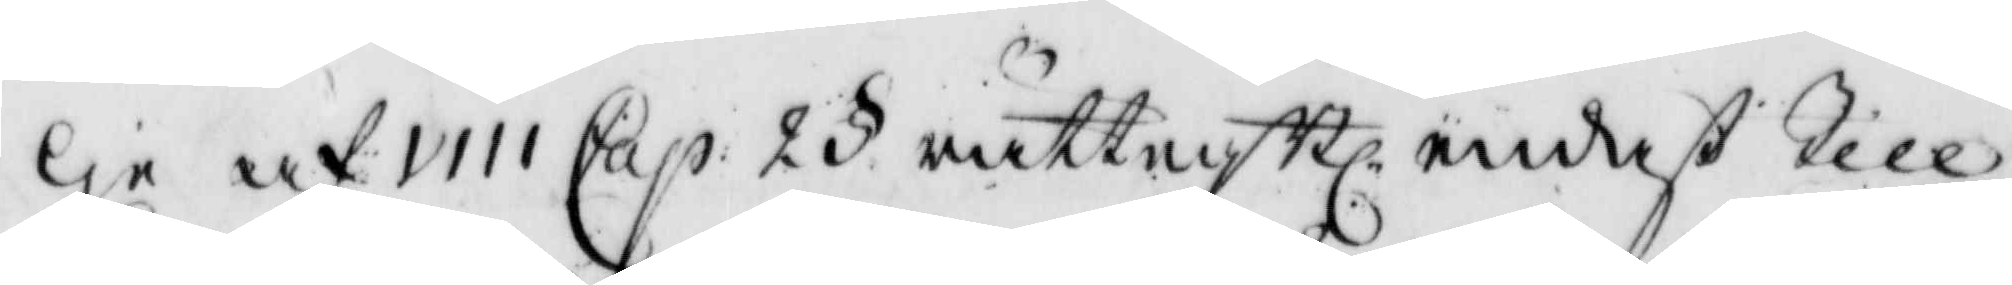ge af VIII Cap 2 § rättegBl, endast Till¬
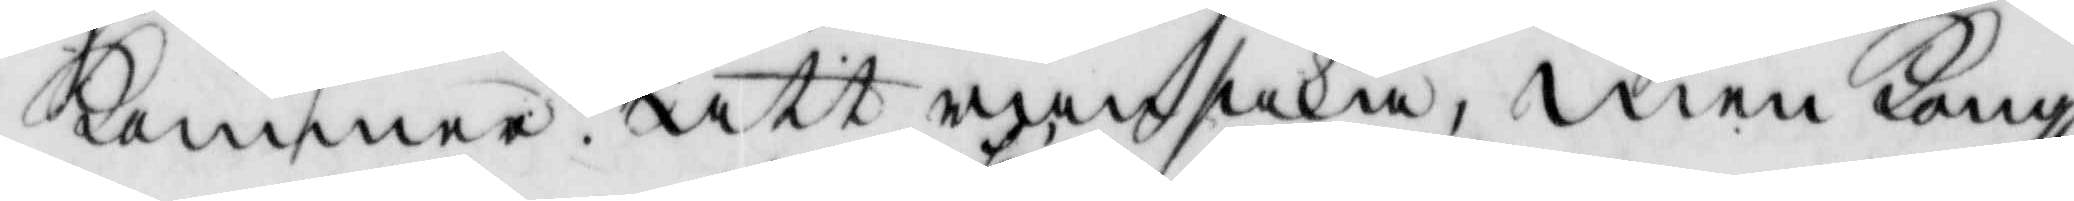kommer att ransaka, men Kongl.
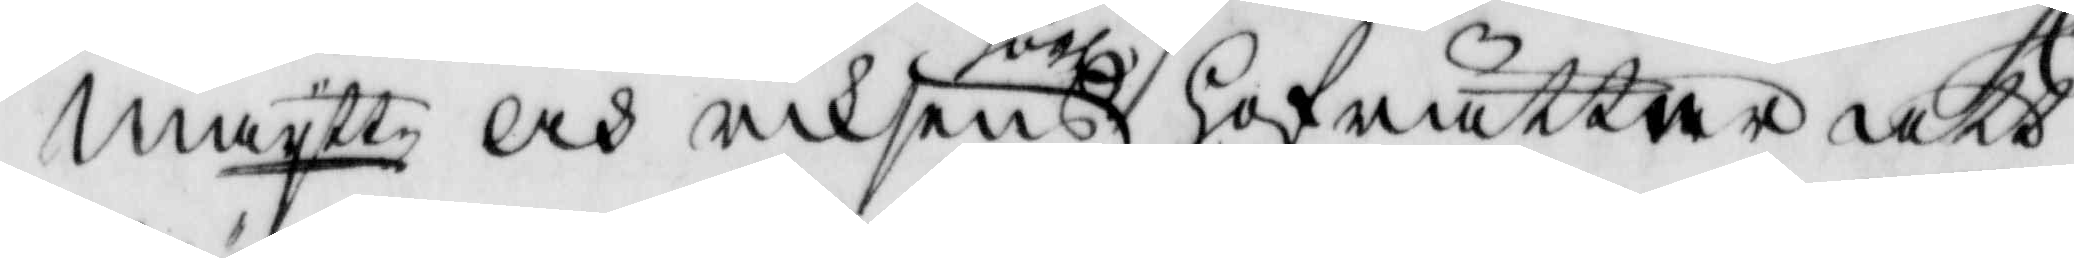maytt  och riksens högl. hofrätten att
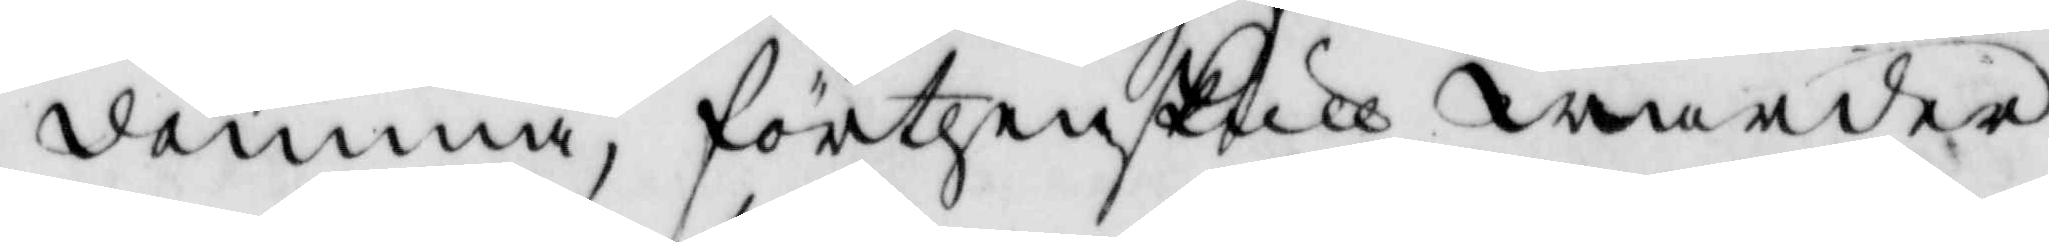dömma, förthenskull warder
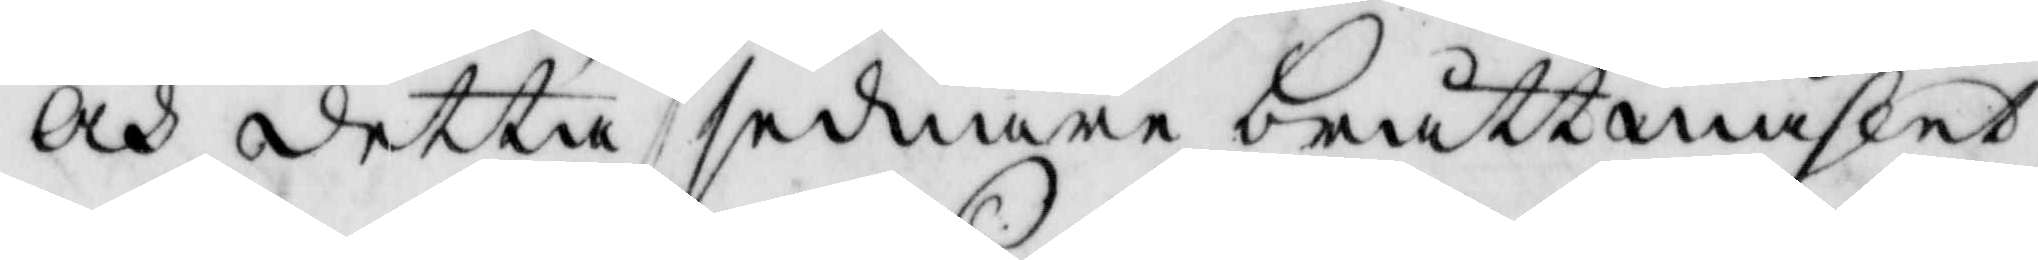och detta sednare bråttmåhlet
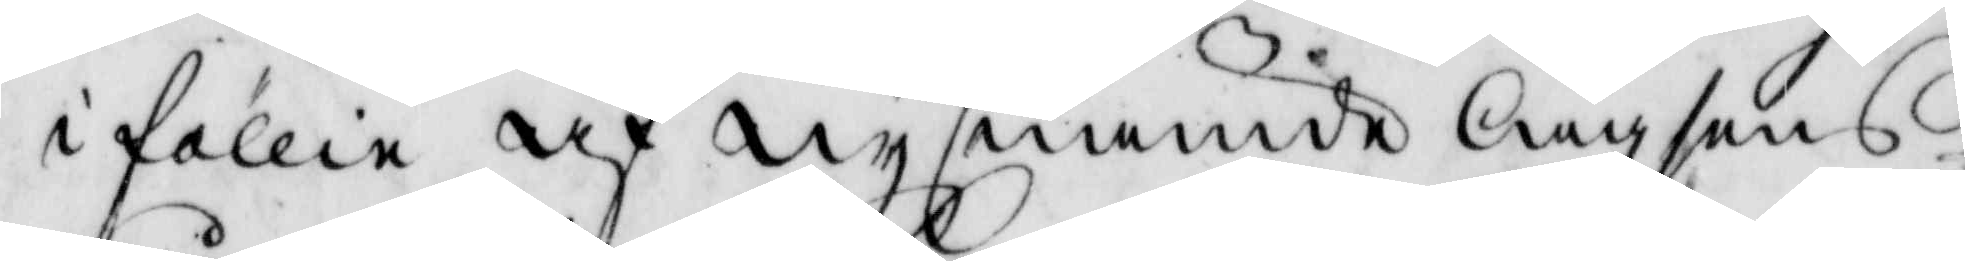i föllie af nysnämde lagsens
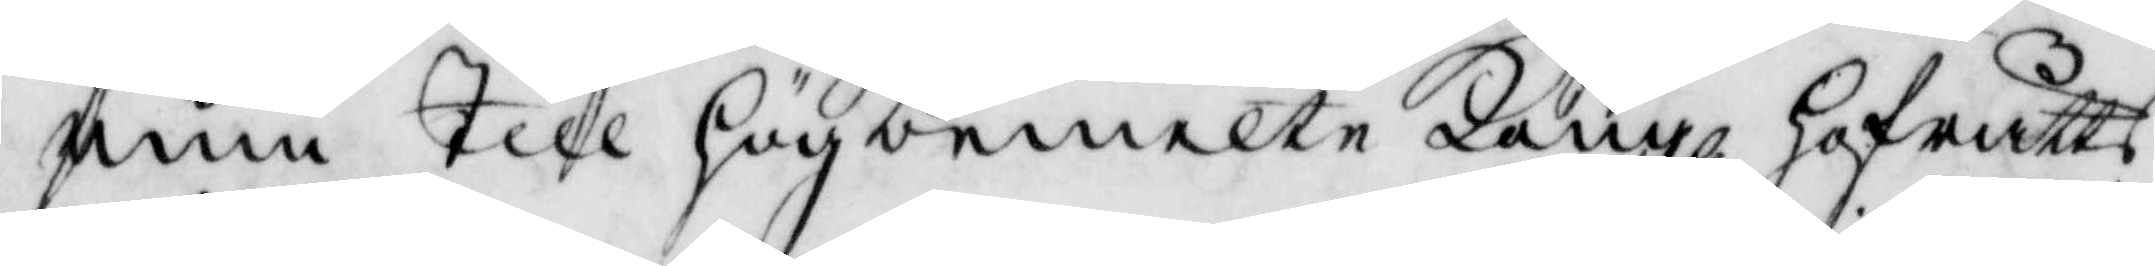rum Till högbemelte Kongl. hofrätts
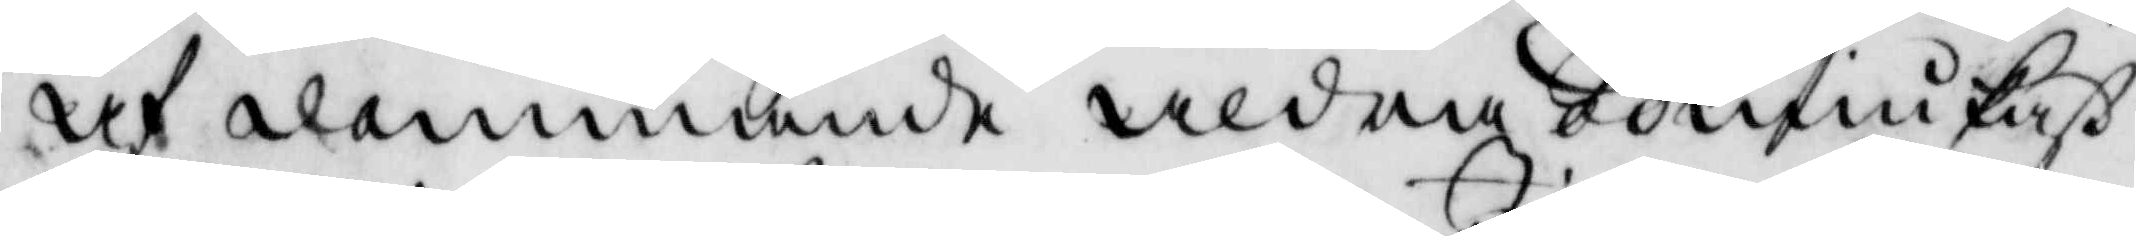af alammande aldra ödmiukhet
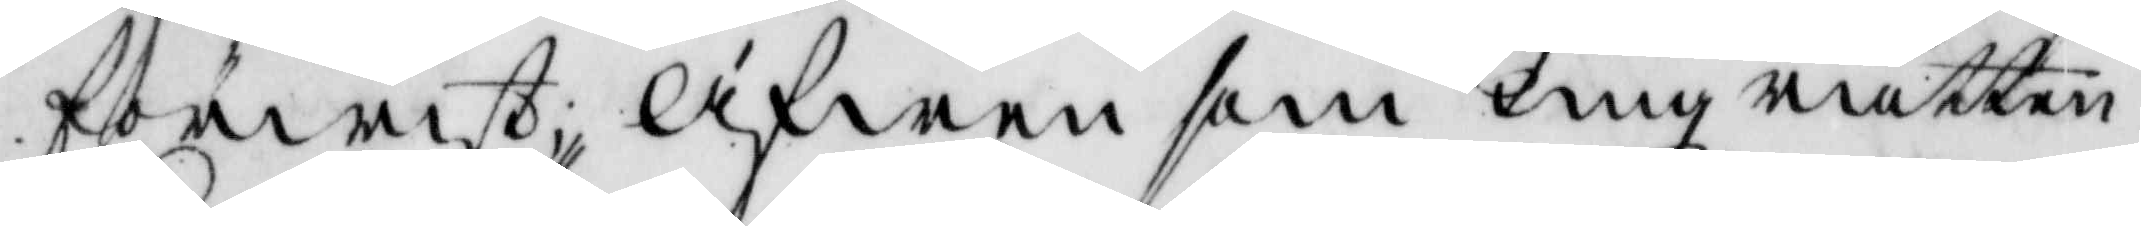förwist, äfwen som Tingz rätten
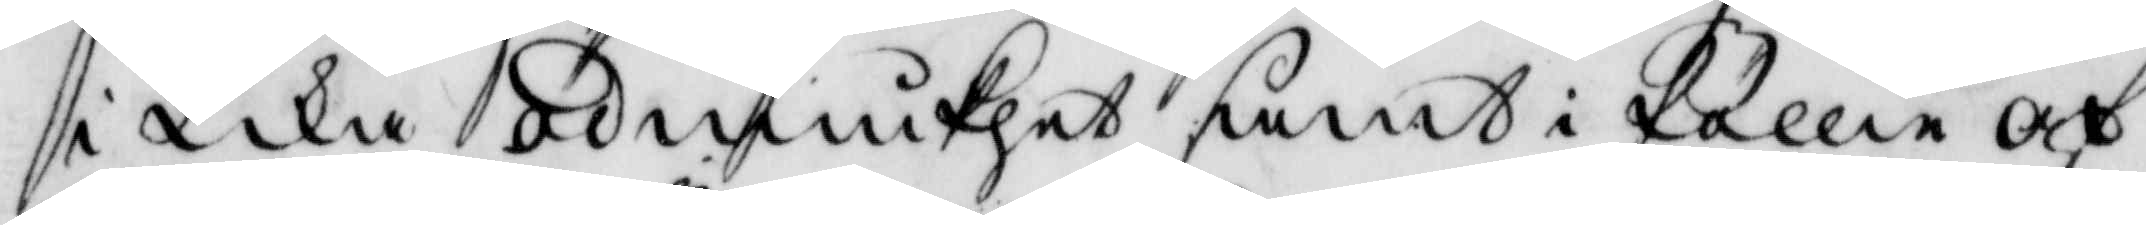i Lika ödmiukhet samt i föllie af
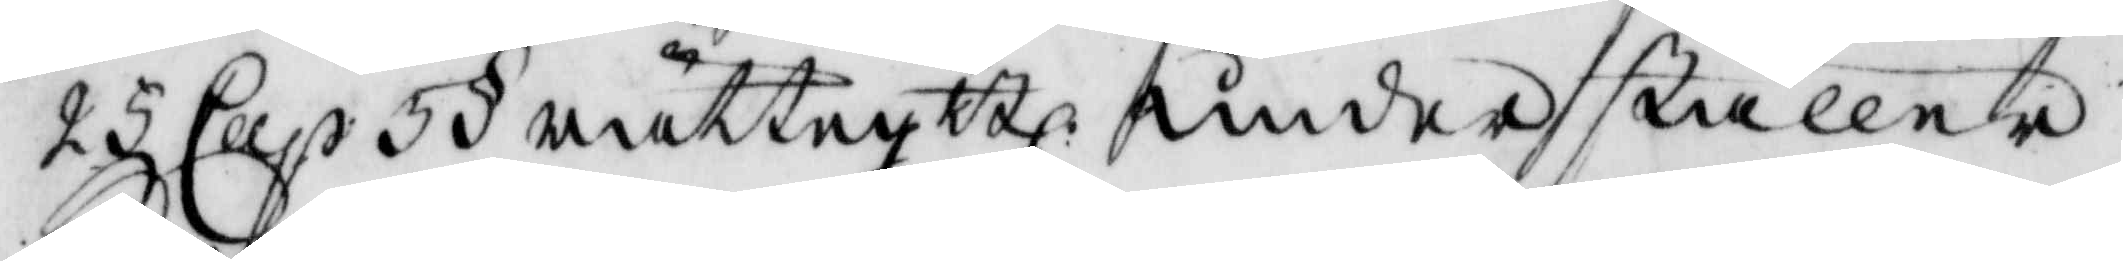25 Cap 5 § rättegsBl: underställer
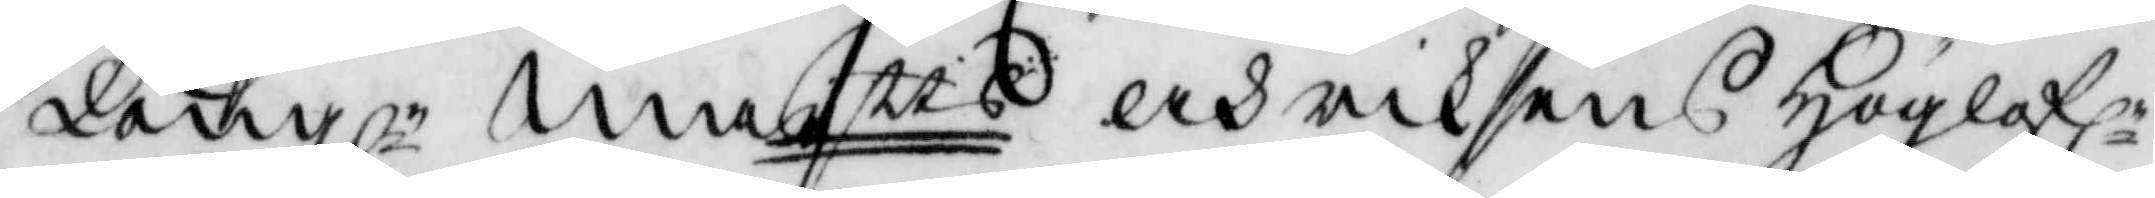Kongl: maytts och riksens höglofl. 
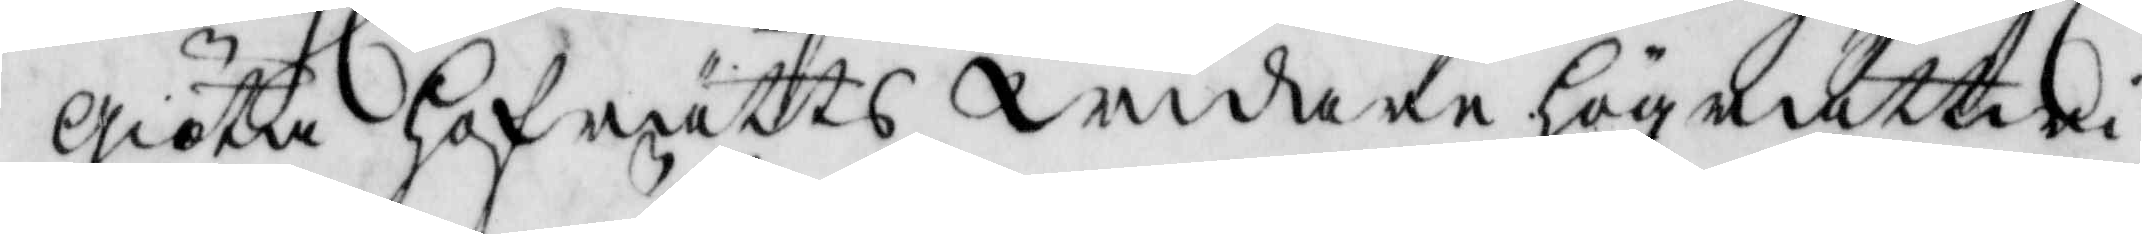giöta hofrätts widare högrättwi¬
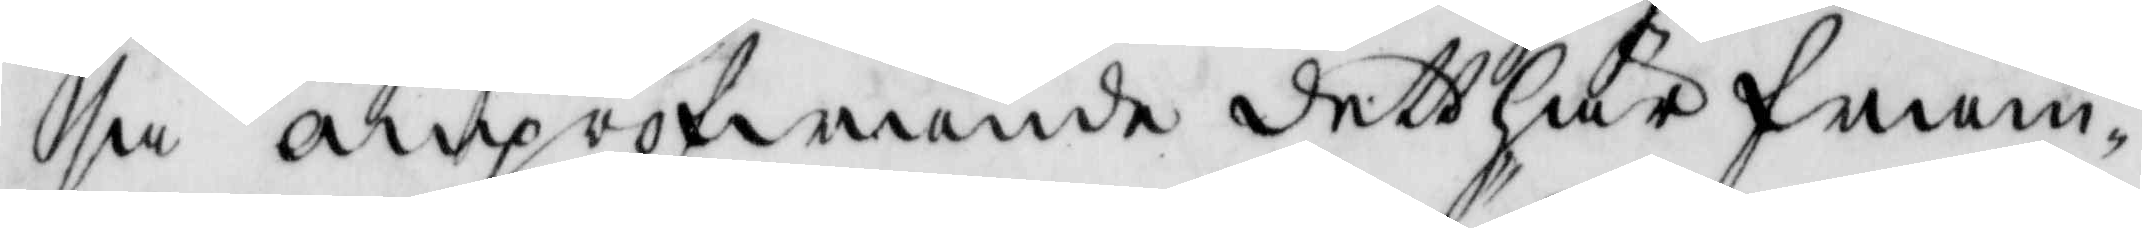sa ompröfwande dett här fram¬
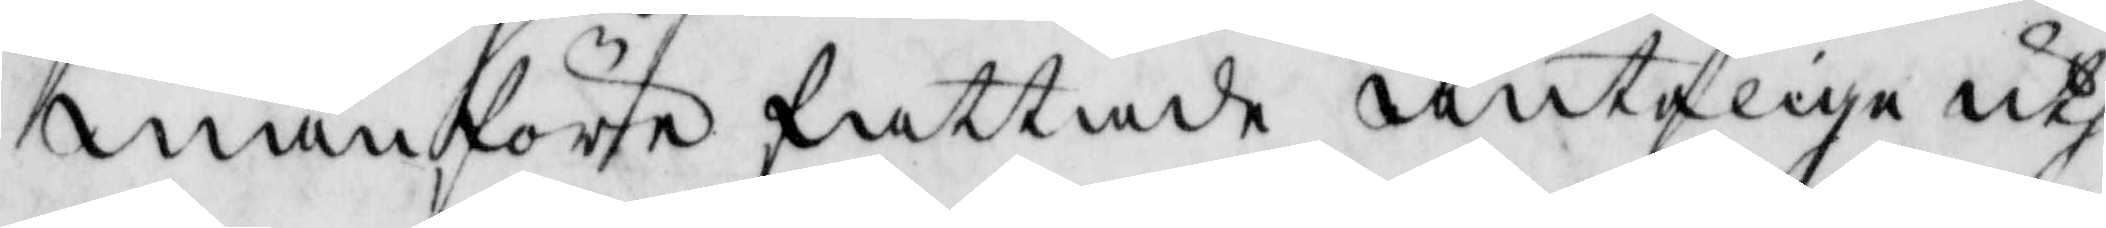manföre fattade änteliga ut¬
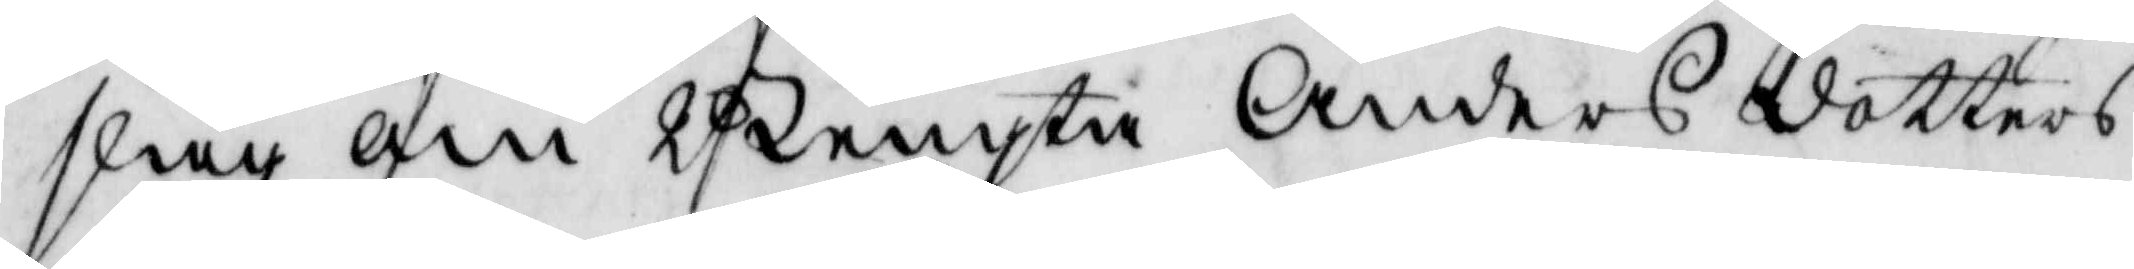slag om Bengta Anders dotters
